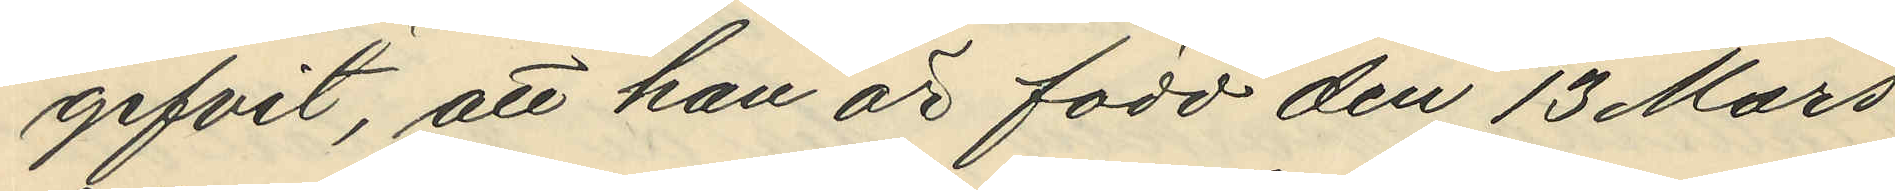gifvit, att han är född den 13 Mars
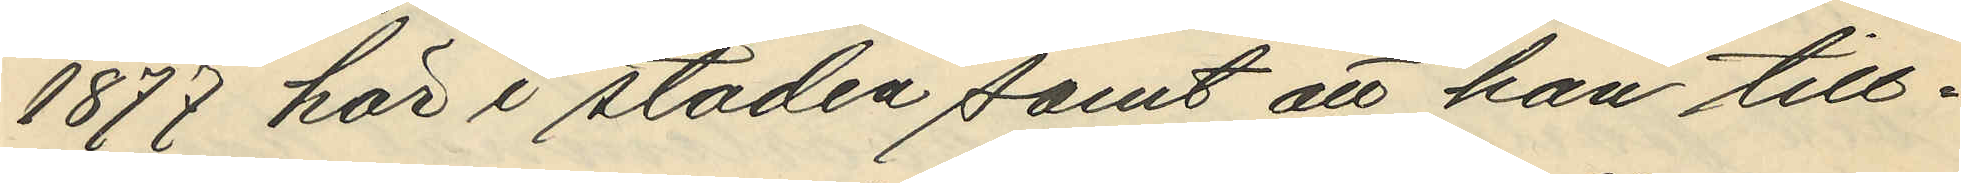1877 här i staden samt att han till¬
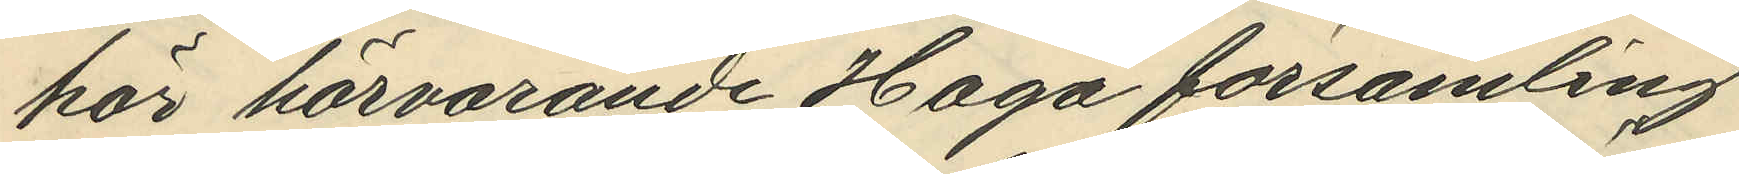hör härvarande Haga församling.
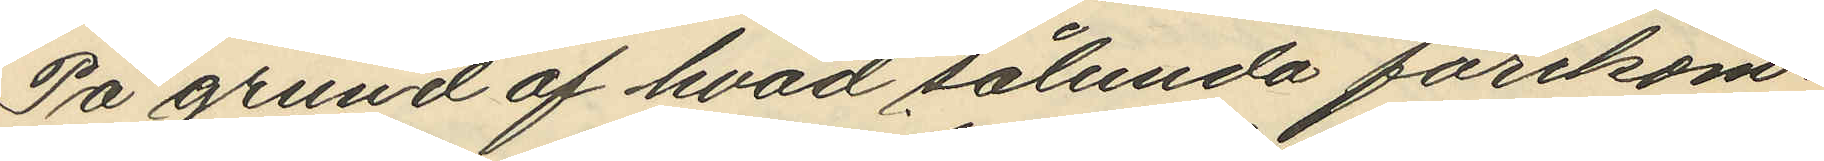På grund av hvad sålunda förekom¬
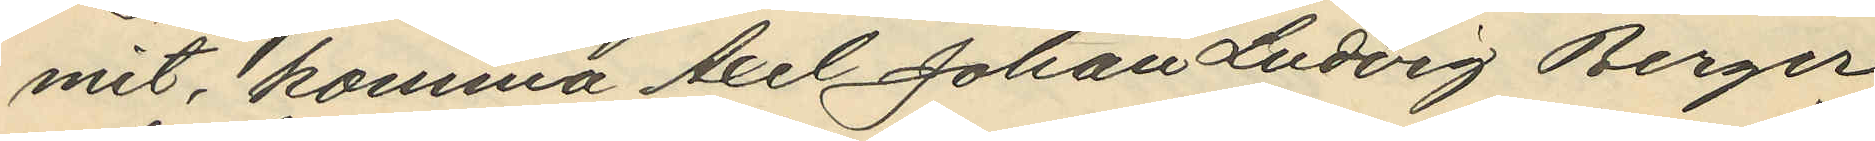mit, komma Axel Johan Ludvig Berger
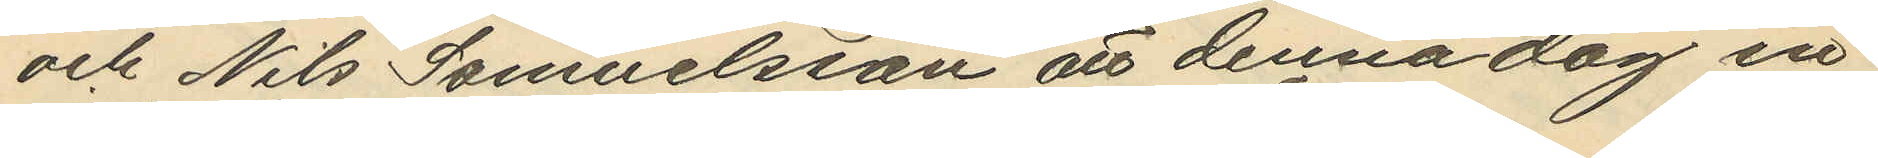och Nils Samuelsson att denna dag in¬
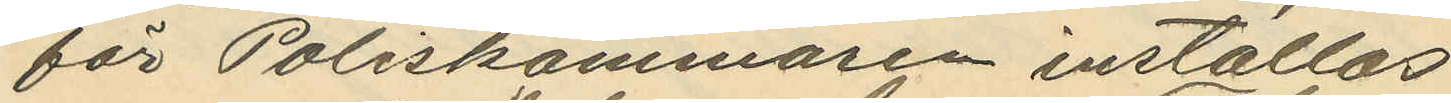för Poliskammaren inställas.
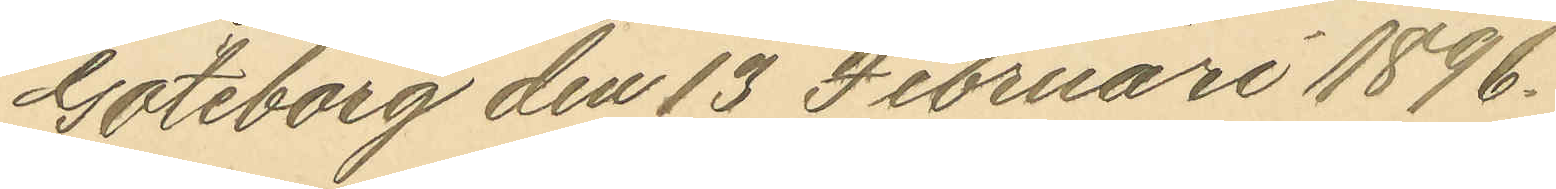Göteborg den 13 Februari 1896.
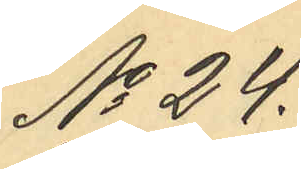No 24
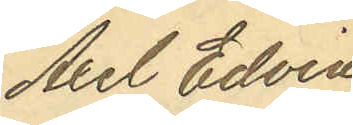Axel Edvin
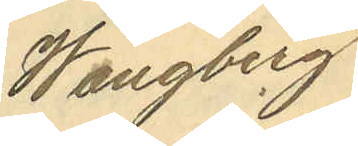Wängberg
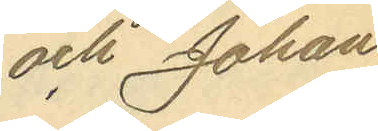och Johan
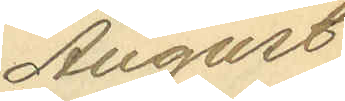August
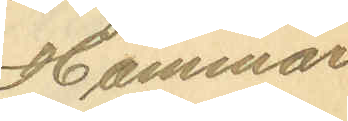Hammar.
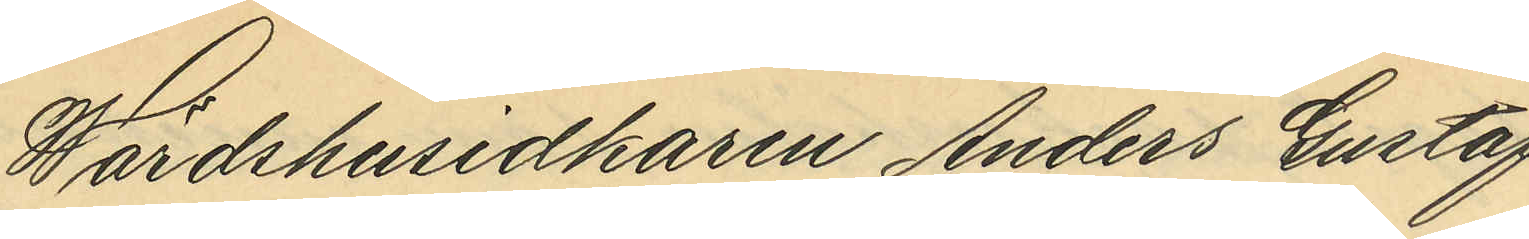Wärdshusvärden Anders Gustaf
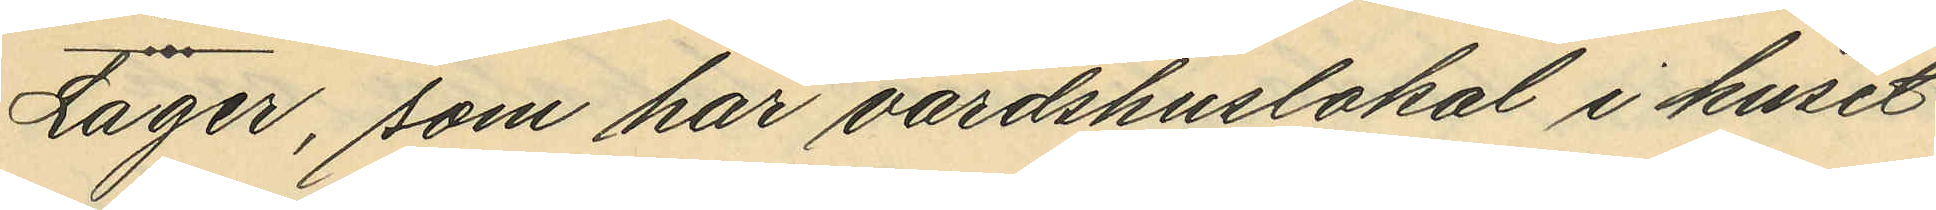Lager, som har värdshuslokal i huset
